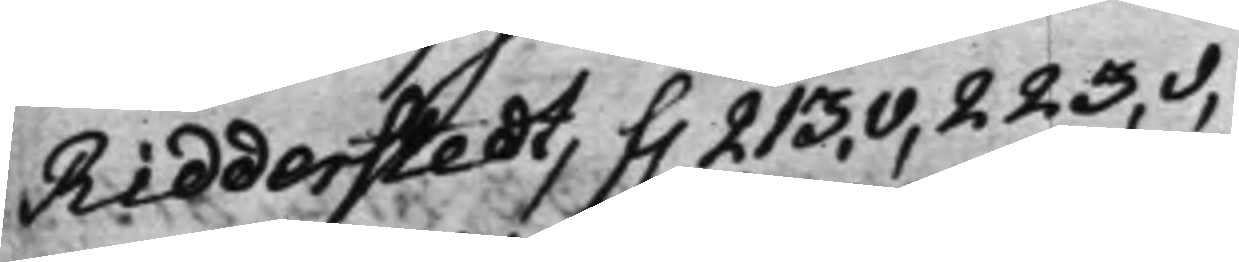Ridderstedt, f. 213.v, 223.v,
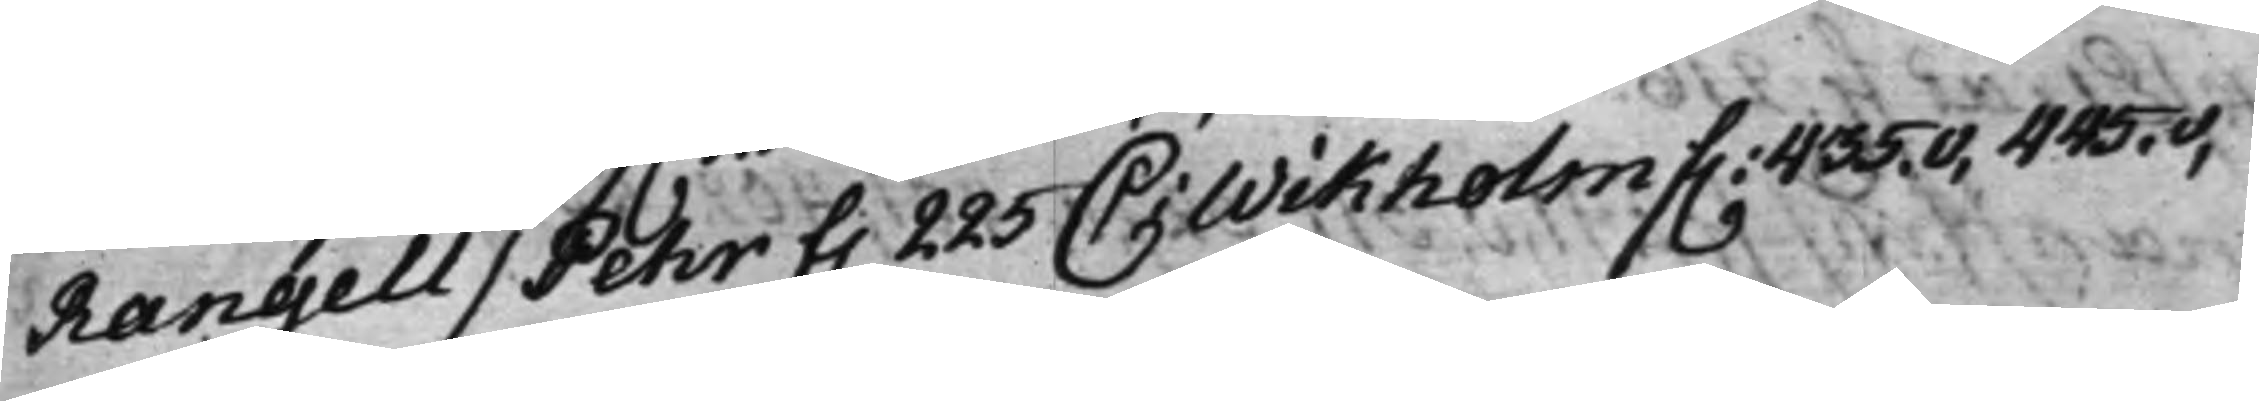Rangell / Pehr f. 225 C: Wikholm f. 435.v. 445.v,
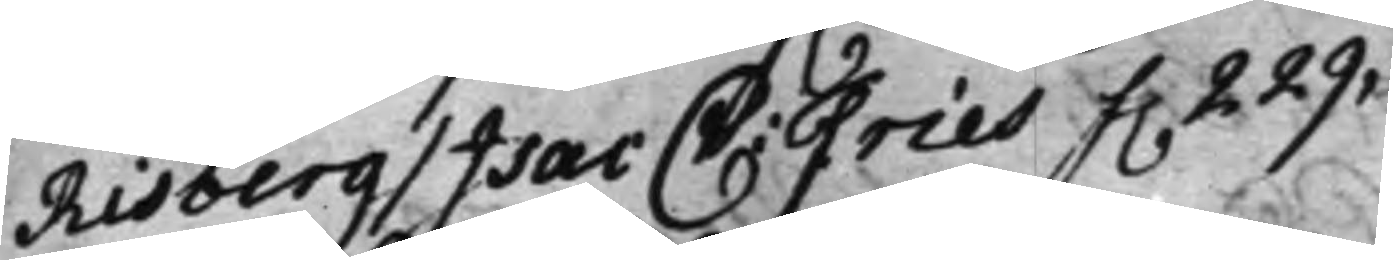Risberg / Isac C: Fries f. 229,
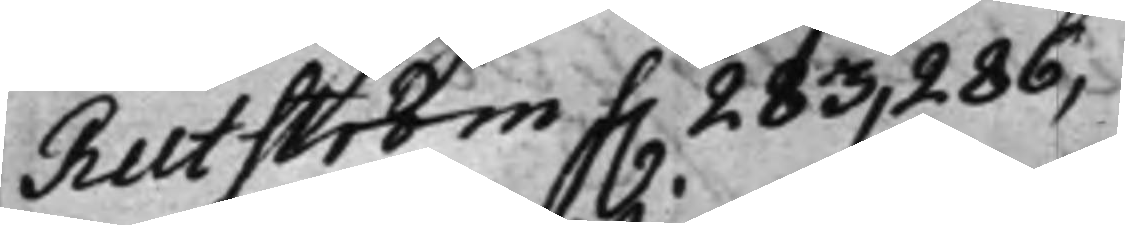Rutström f. 283, 286,
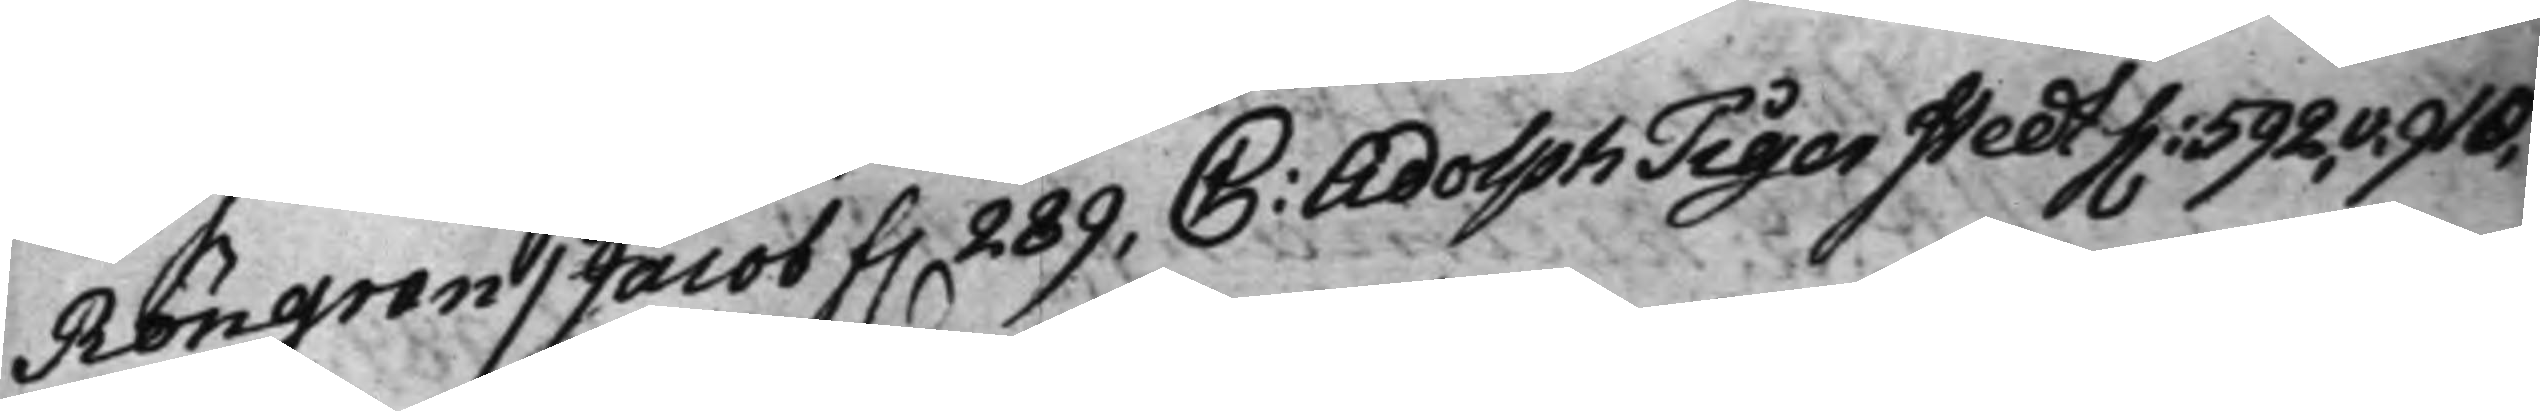Röngren / Jacob f. 289, C: Adolph Tigerstedt f. 592.v. 910.
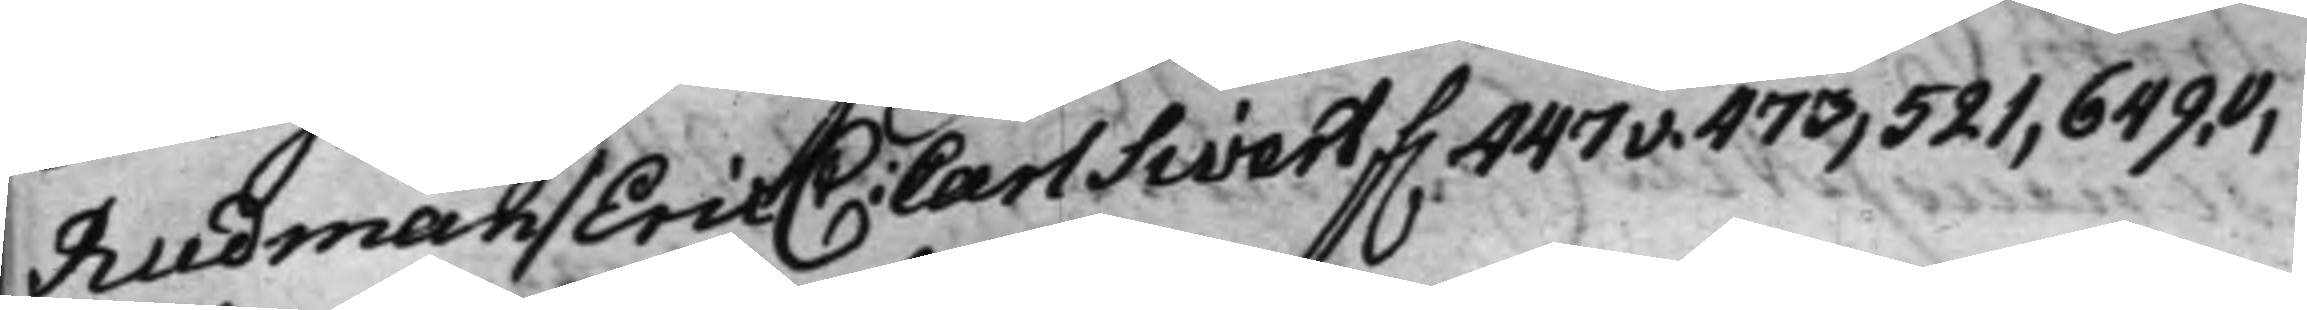Rudman / Eric C: Carl Sivert f. 447v. 473, 521, 649.v,
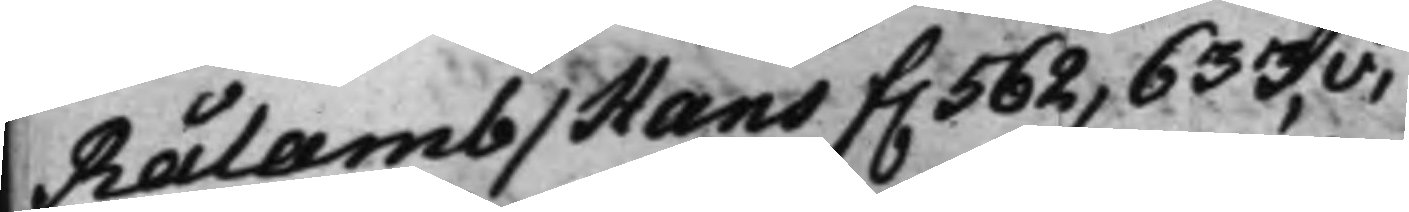Rålamb / Hans f. 562, 633.v.
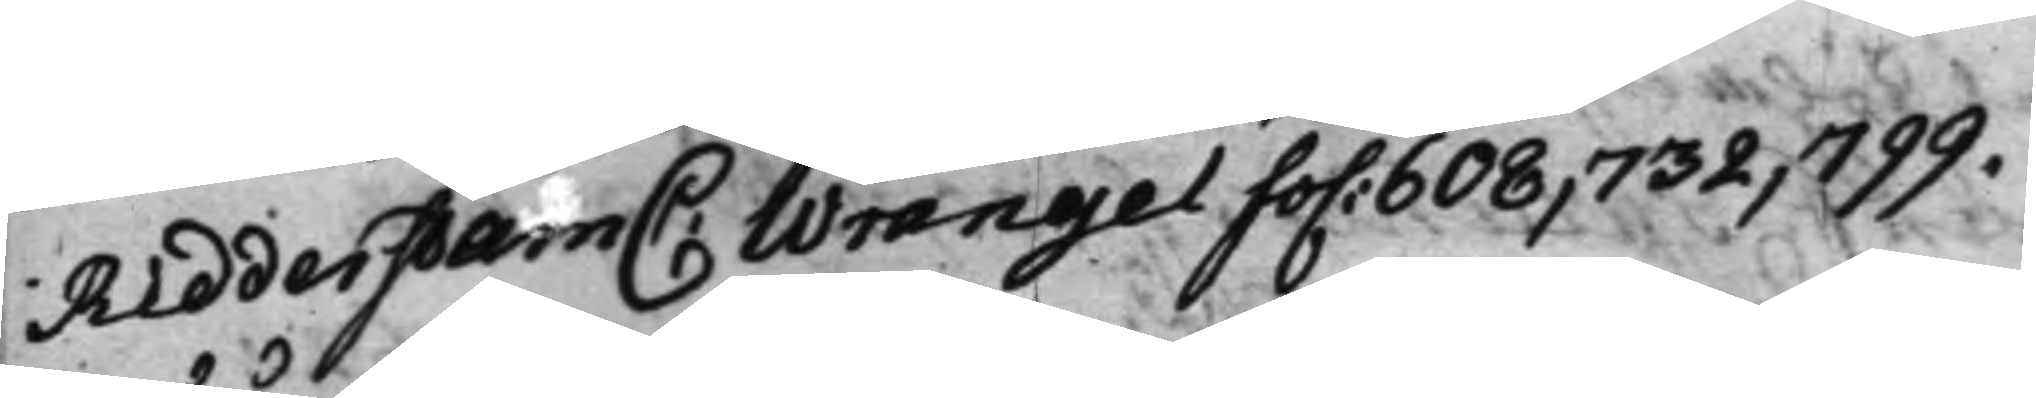Ridderstam C: Wrangel fo. 608, 732, 799.
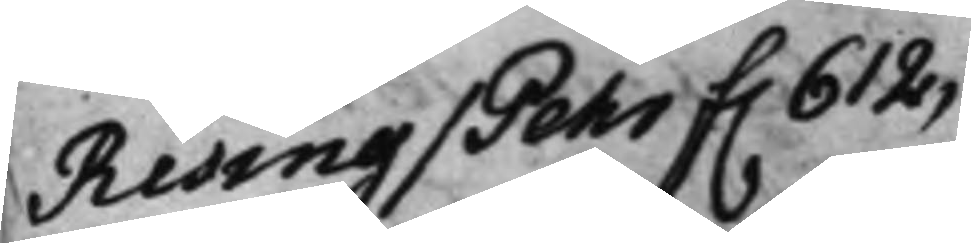Rising / Pehr f. 612,
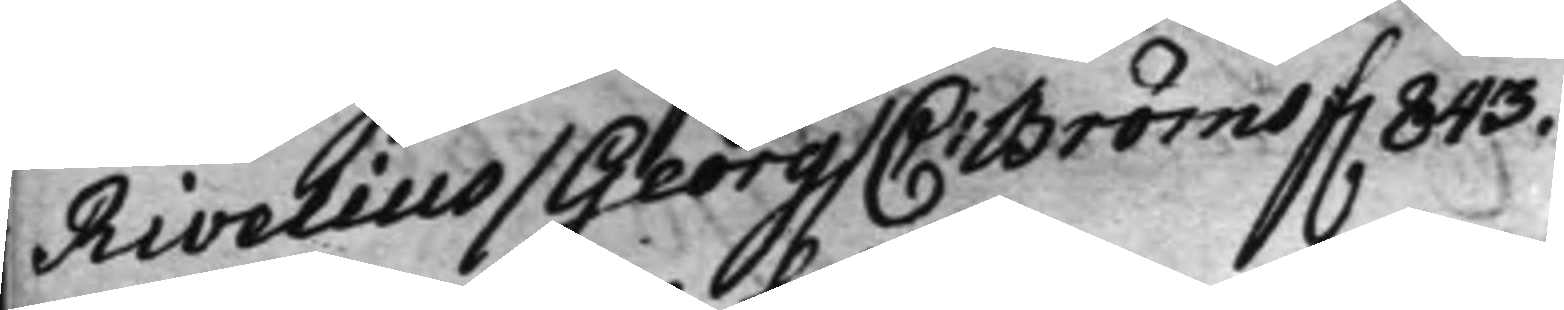Rivelius / Georg / C: Bröms f. 843.
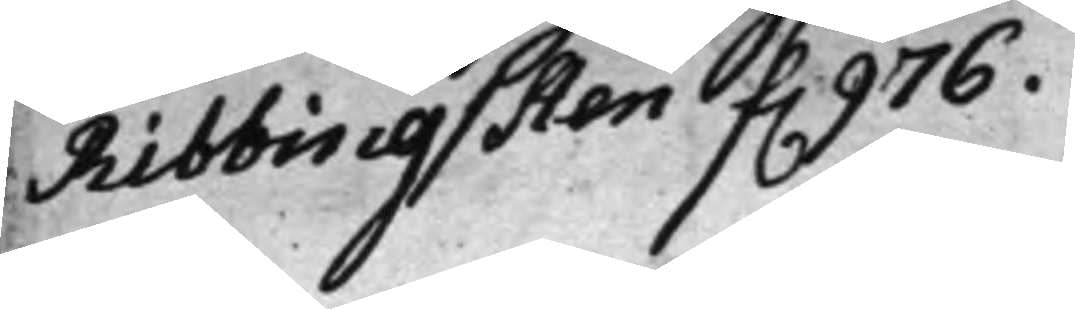Ribbing / Sten f. 976.
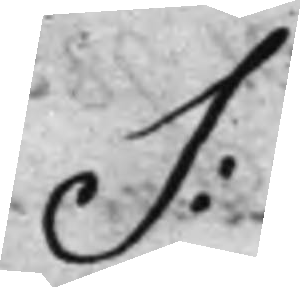S:
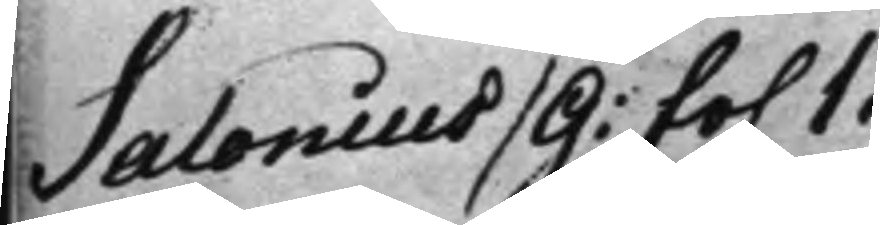Salonius / G: fo. 1.
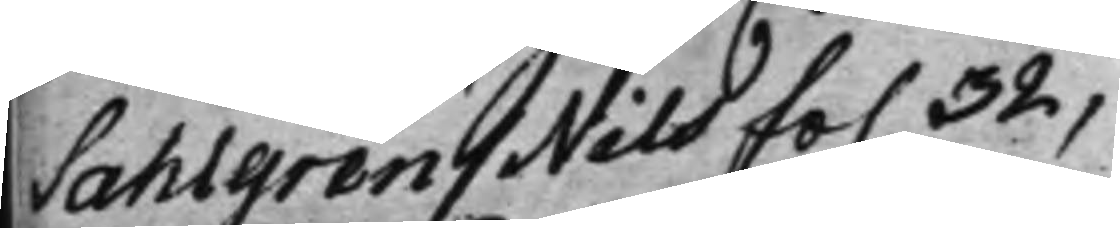Sahlgren / Nils fo. 32,
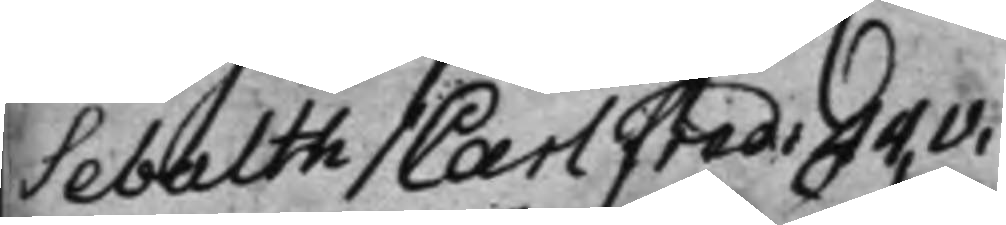Sebalth / Carl Fred. 44.v,
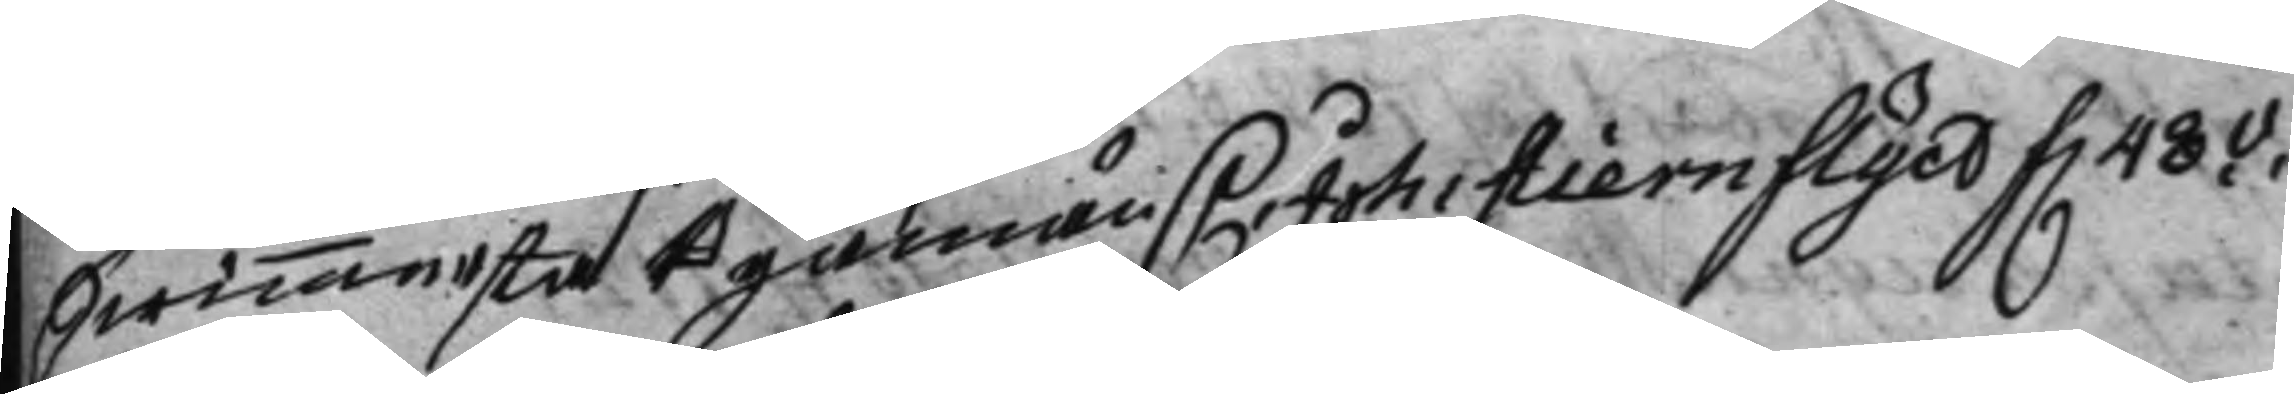Swinnersta Byamän / C: Joh. Stiernflyct f. 48.v.
